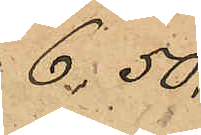6,50,
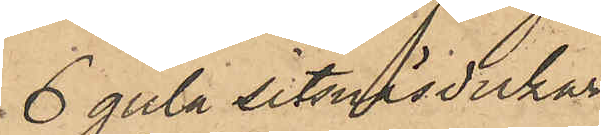6 gula sitsnäsdukar
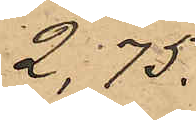2,75.
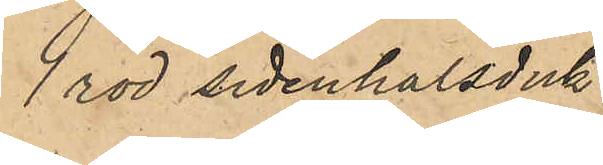1 röd sidenhalsduk
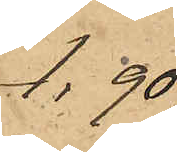1,90.
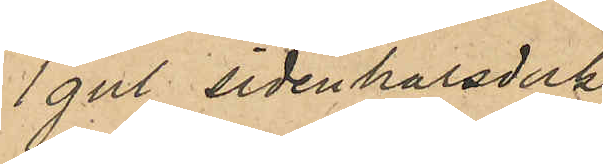1 gul sidenhalsduk
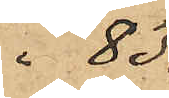" 83,
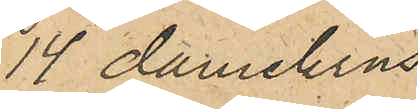14 damekrus
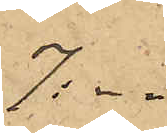7:-,
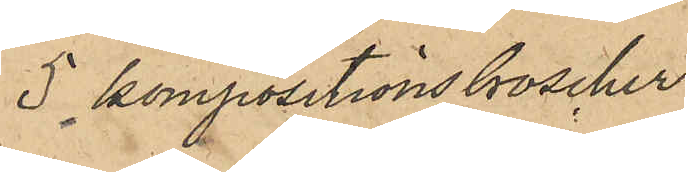5 kompositionsbroscher
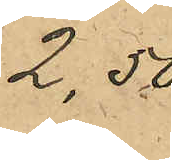2,50.
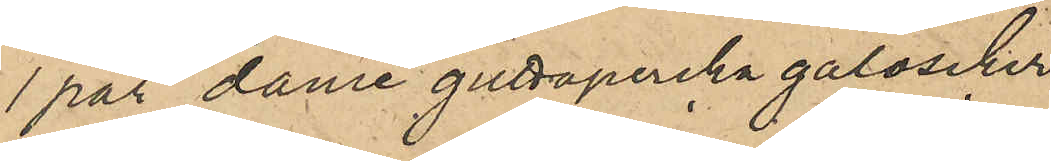1 par dame guttapercka galoscher
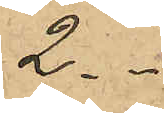2. -
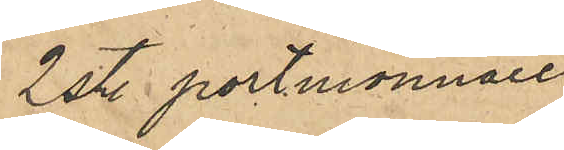2 st. portmonnaier
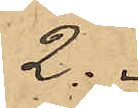2. -
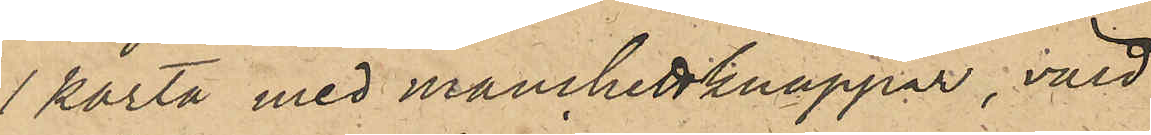1 karta med manchettknappar, värd
